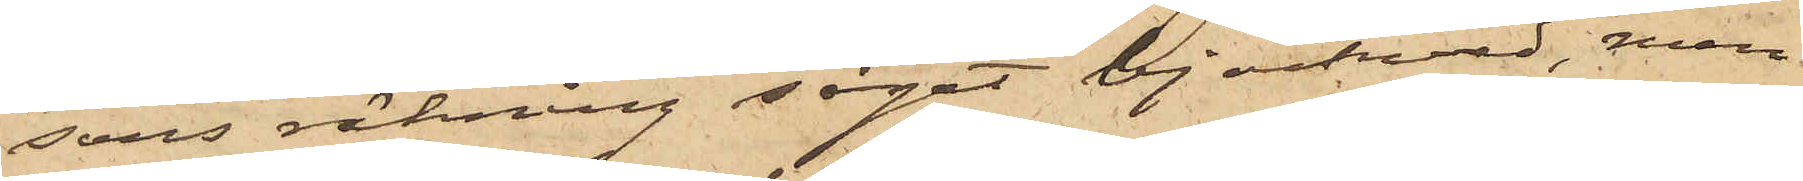sons räkning sågat björkved, men
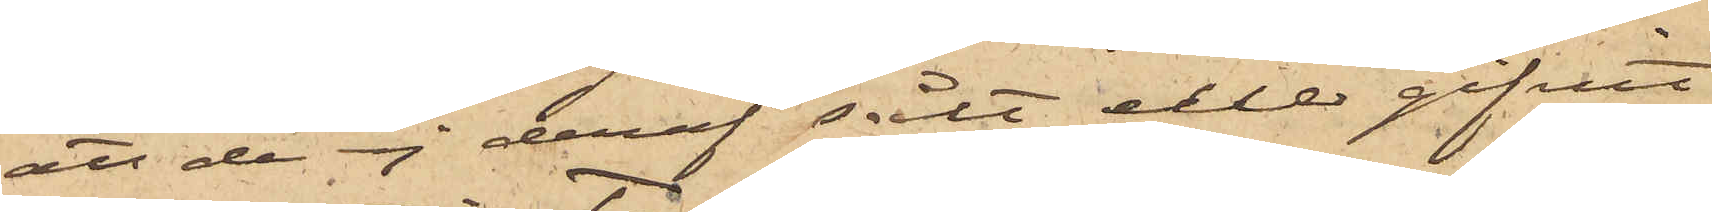att de ej deraf sålt eller gifvit
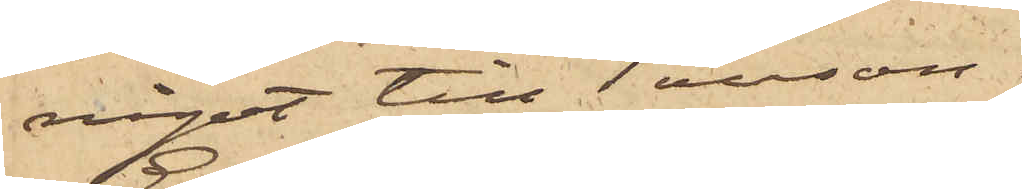något till Tausson.
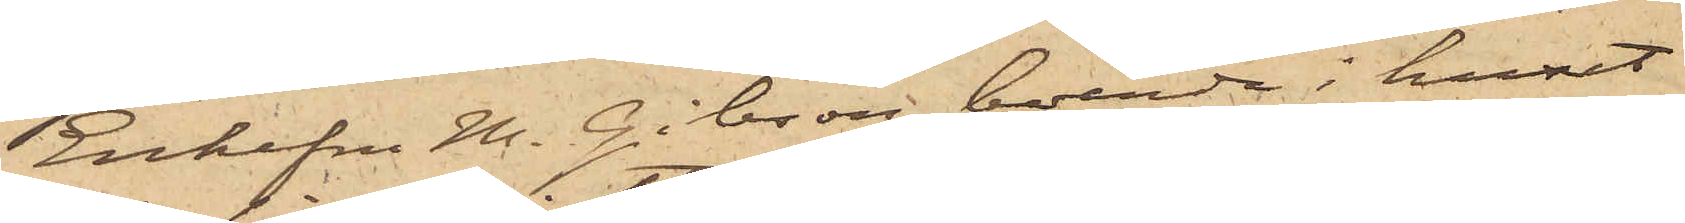Enkefru M. Gibson, boende i huset
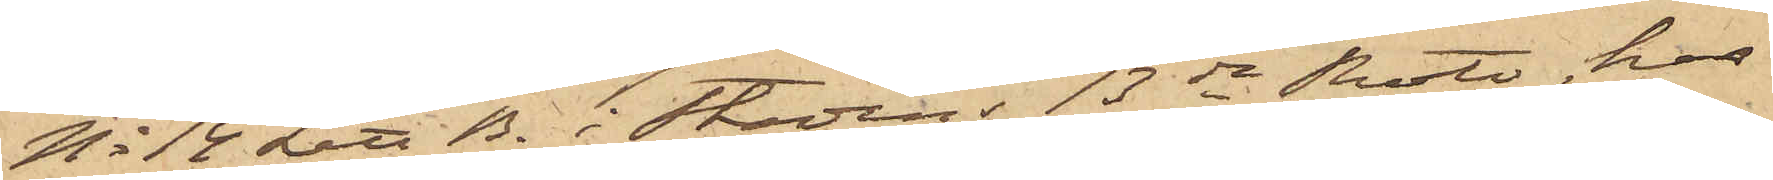No 14 Litt B. i Stadens 13de Rote, har
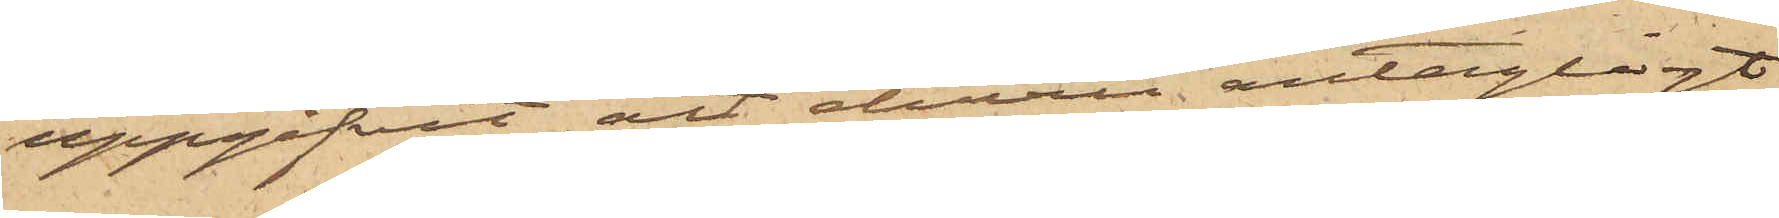uppgifvit att ehuru antagligt
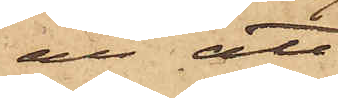är att
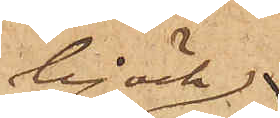björk¬
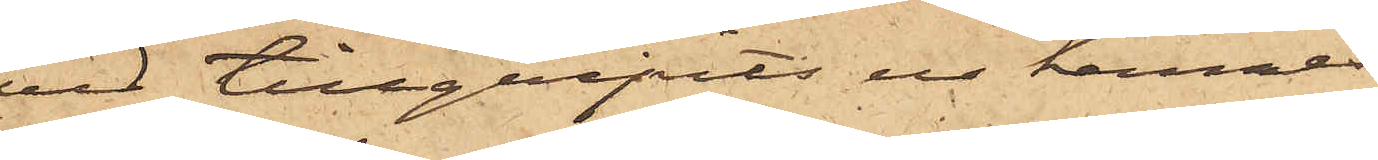ved tillgripits ur hennes
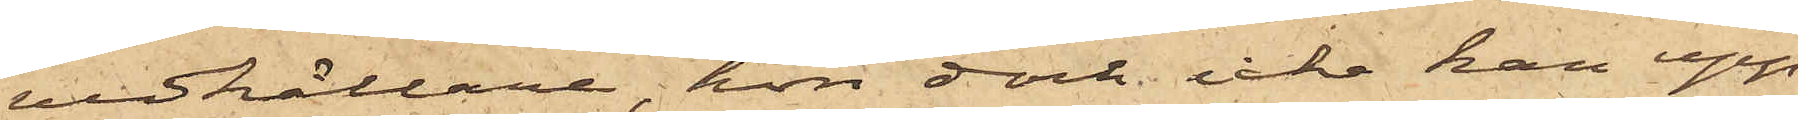vedkällare, hon dock icke kan upp¬
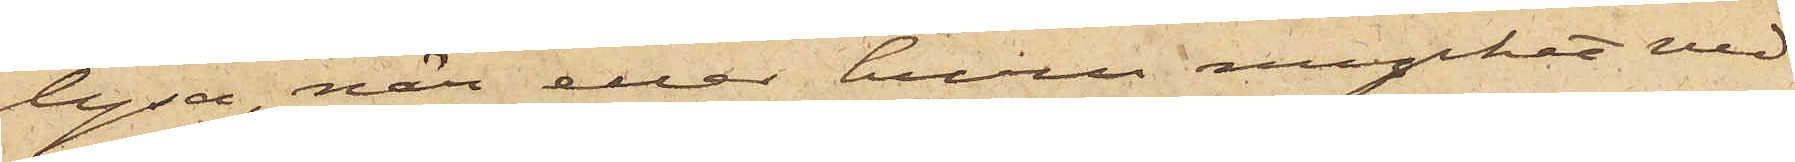lysa, när eller huru mycket ved
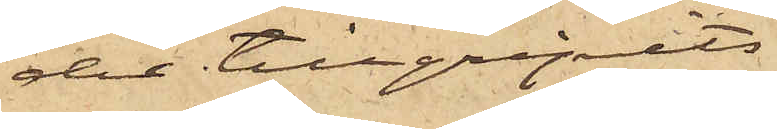der tillgripits.
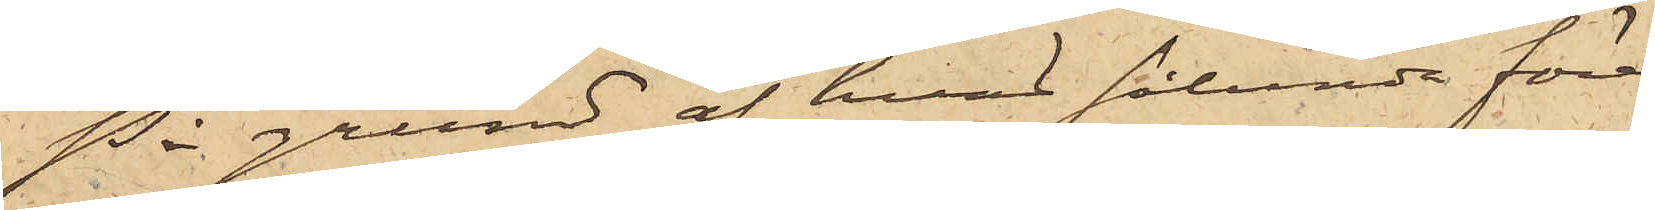På grund af hvad sålunda före¬
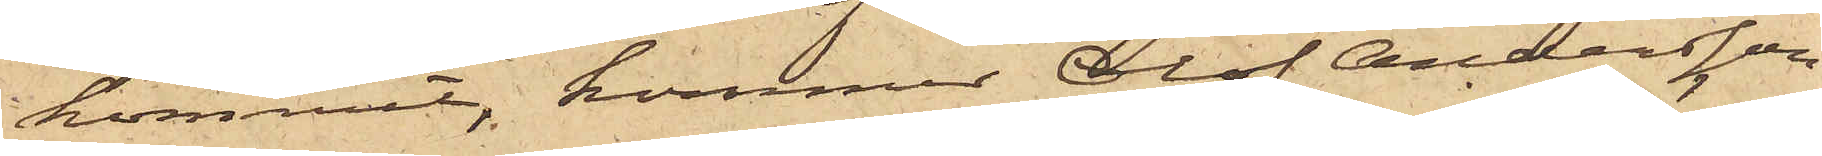kommit, kommer Olof Andersson
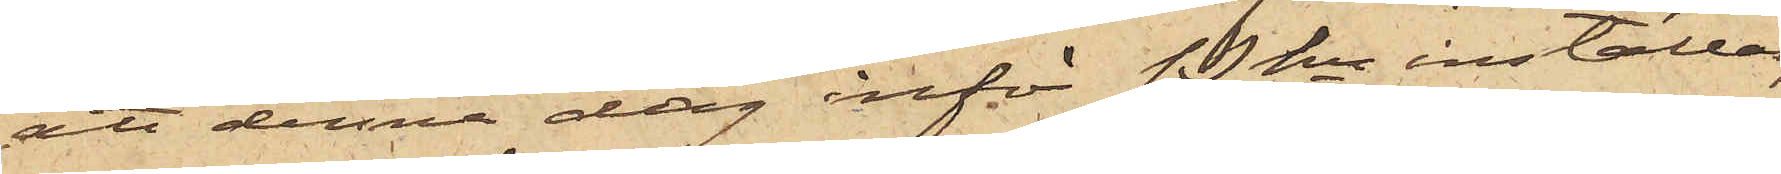att denna dag inför Pkn inställas
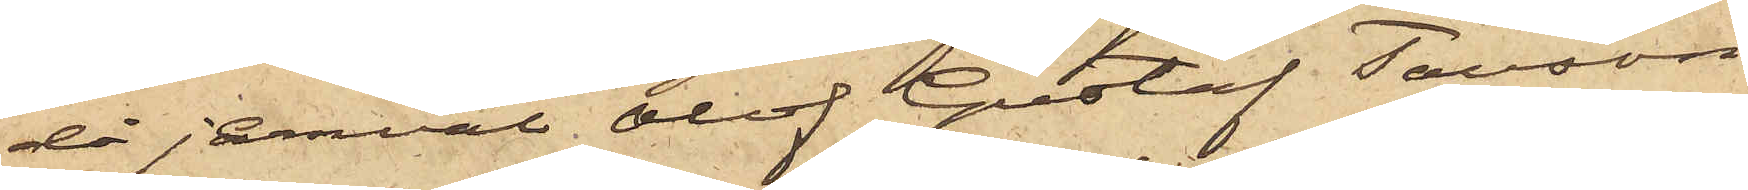då jemväl Olof Gustaf Tausson
